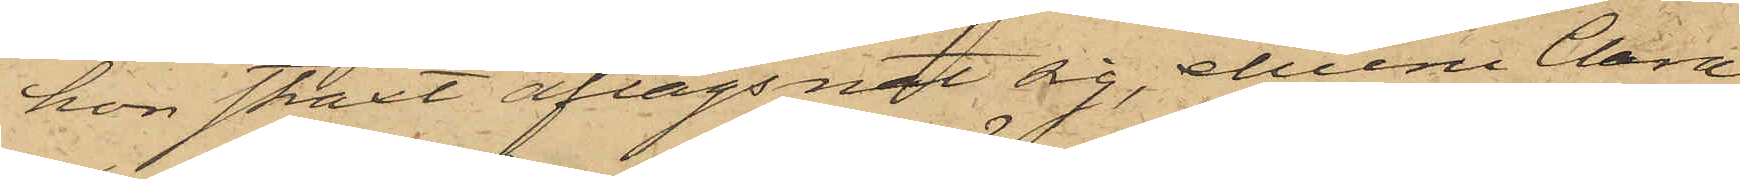hon skall aflägsnat sig, ehuru Clara
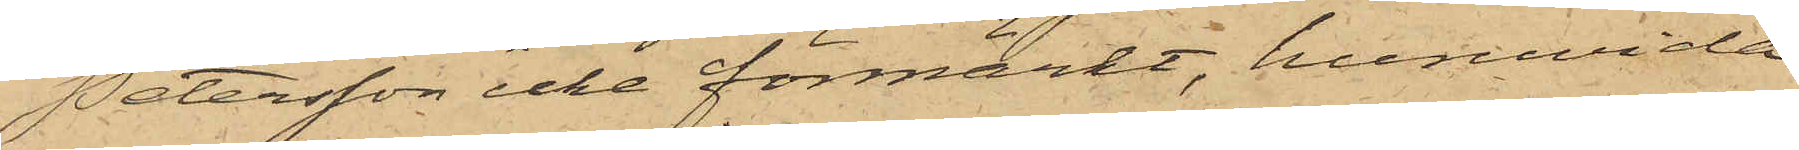Petersson icke förmärkt, huruvida
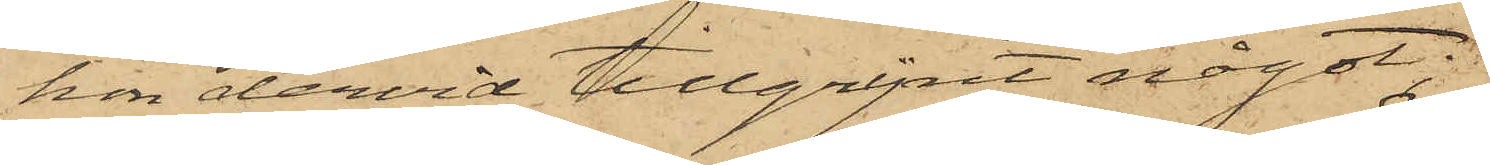hon dervid tillgripit något.
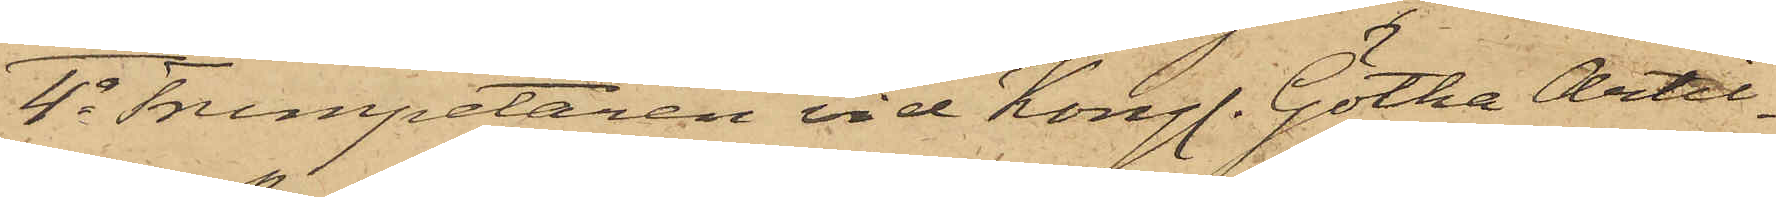4o Trumpetaren vid Kongl. Götha Artil¬
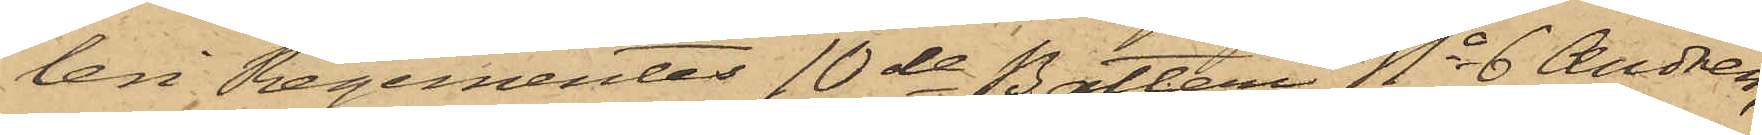leri Regementes 10de Batteri No 6 Andrén,
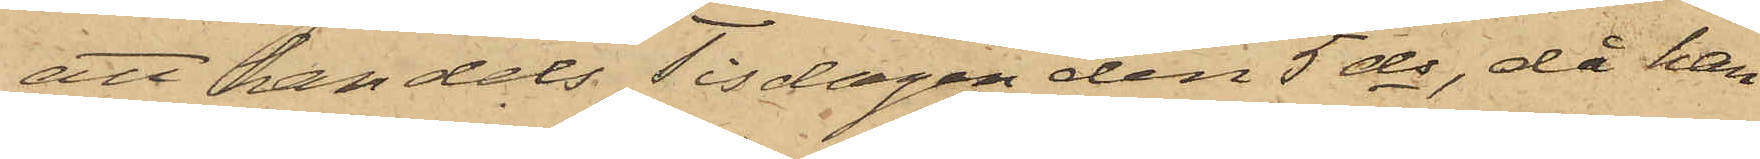att han dels Tisdagen den 5 ds, då han
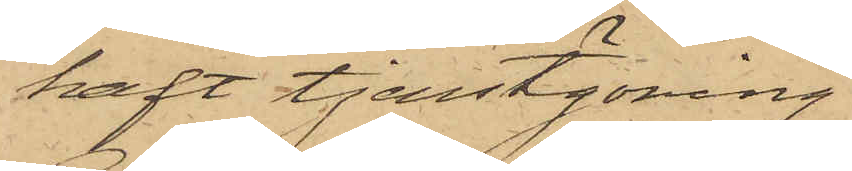haft tjenstgöring
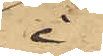i
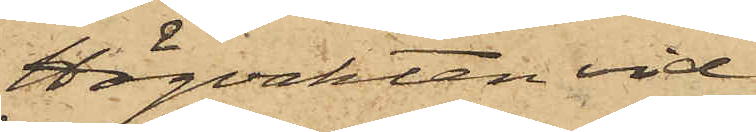Högvakten vid
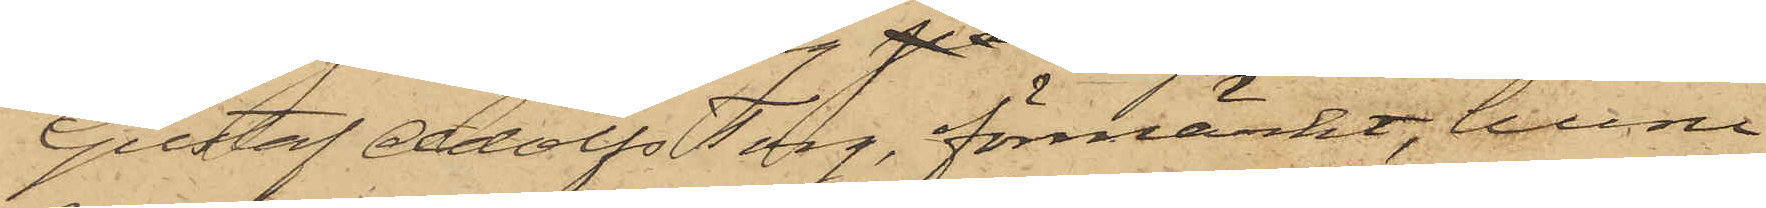Gustaf Adolfs Torg, förmärkt, huru
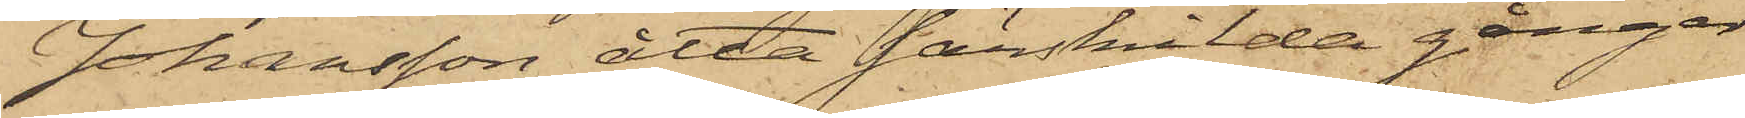Johansson åtta särskilda gånger
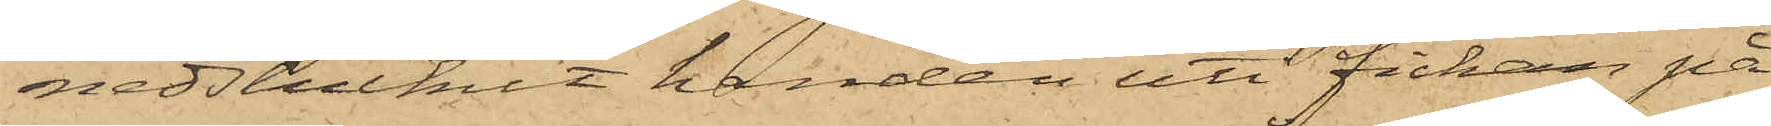nedstuckit handen uti fickan på
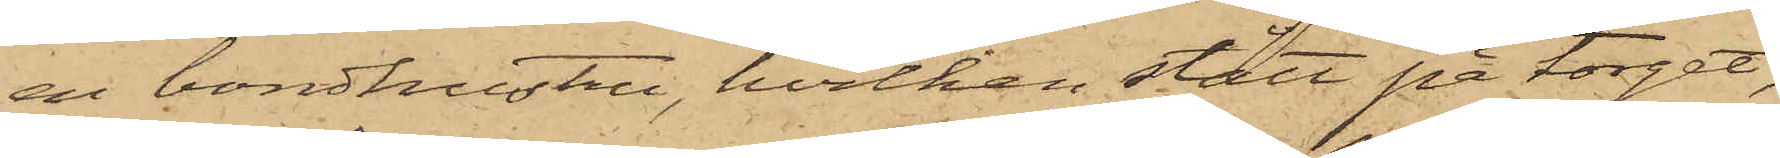en bondhustru, hvilken stått på torget,
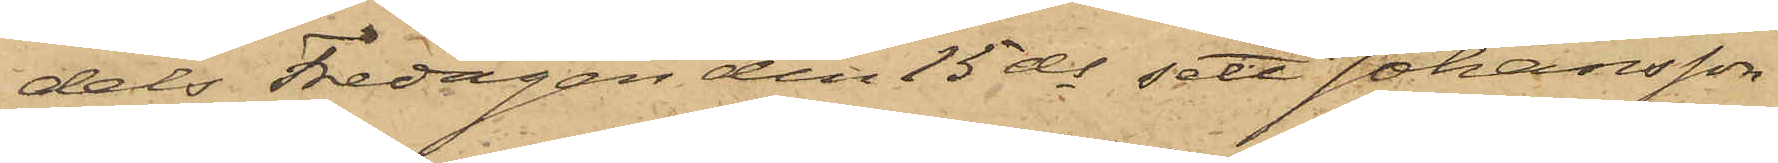dels Fredagen den 15 ds sett Johansson
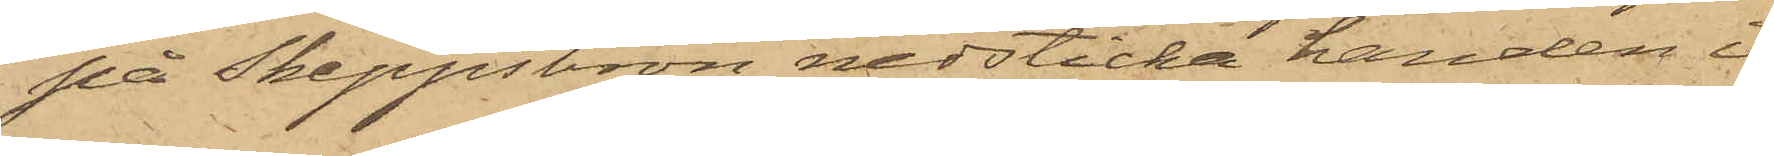på Skeppsbron nedsticka handen i
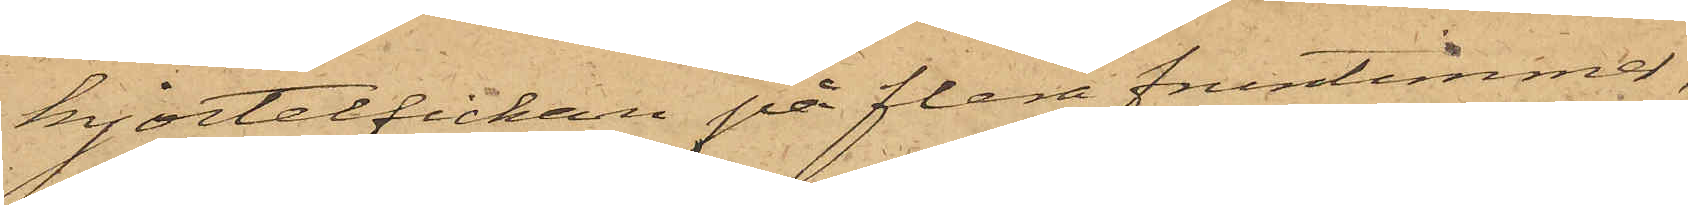kjortelfickan på flera fruntimmer,
